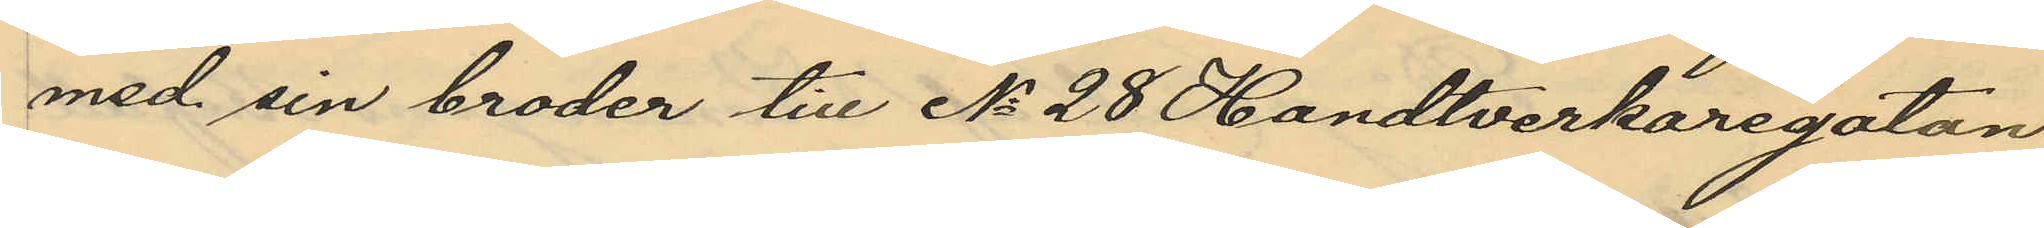med sin broder till No 28 Handtverkargatan
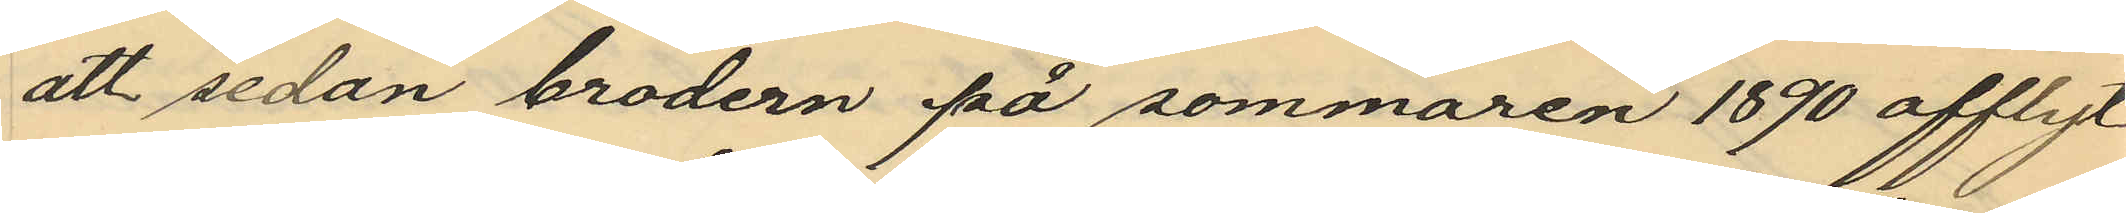att sedan brodern på sommaren 1890 afflyt¬
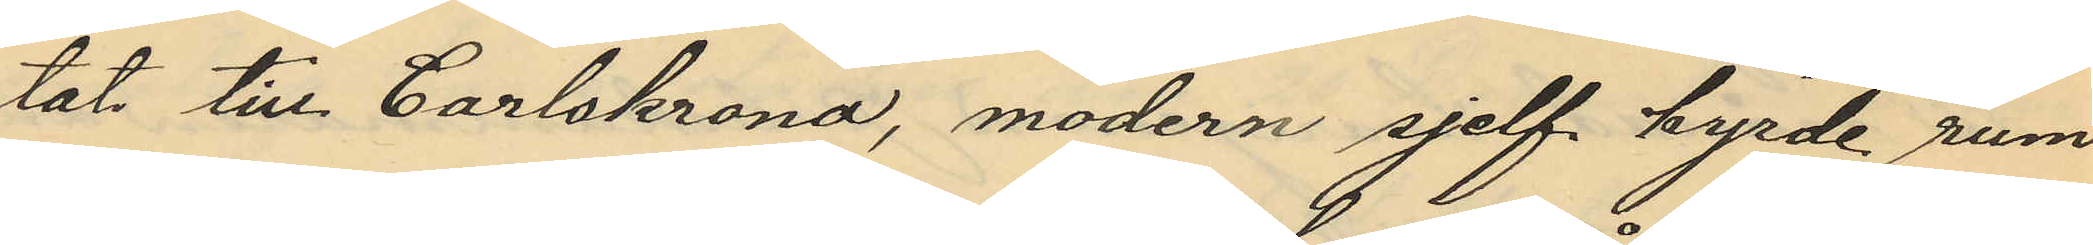tat till Carlskrona, modern sjelf hyrde rum
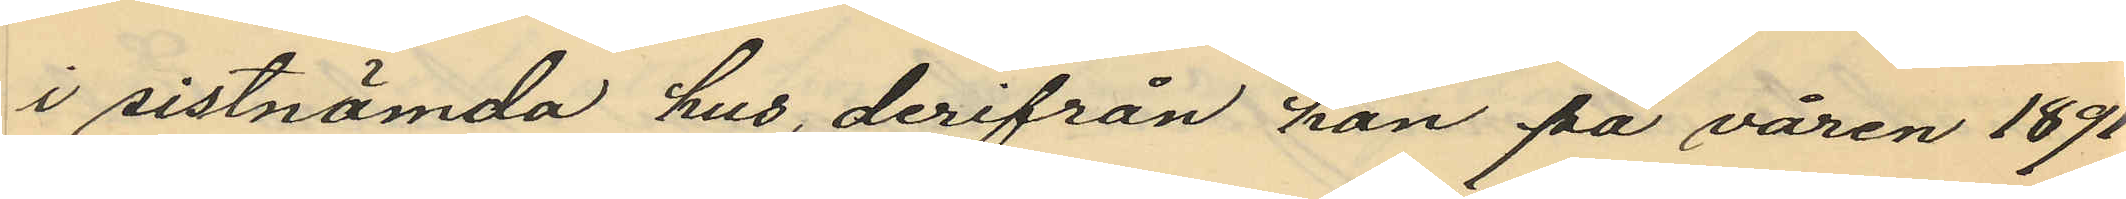i sistnämnda hus, derifrån han på våren 1891
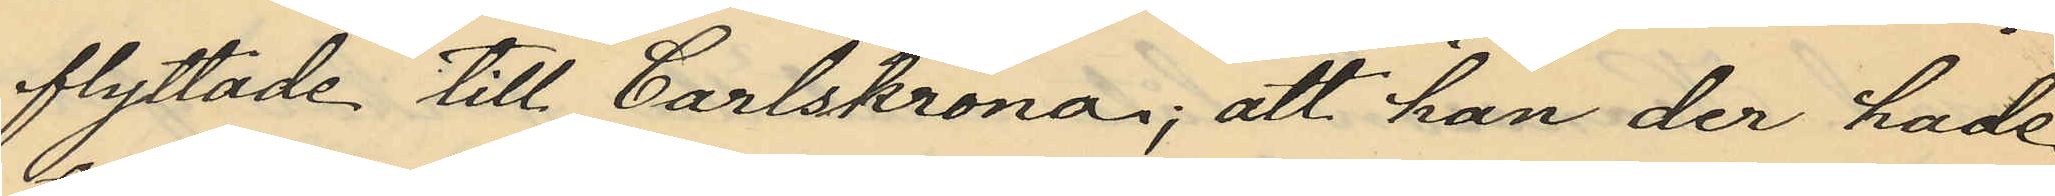flyttade till Carlskrona; att han der hade
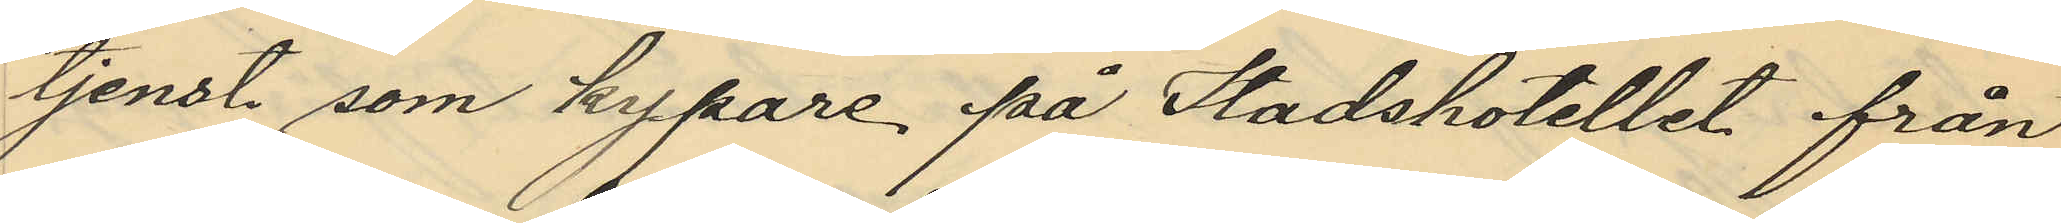tjenst som kypare på Stadshotellet från
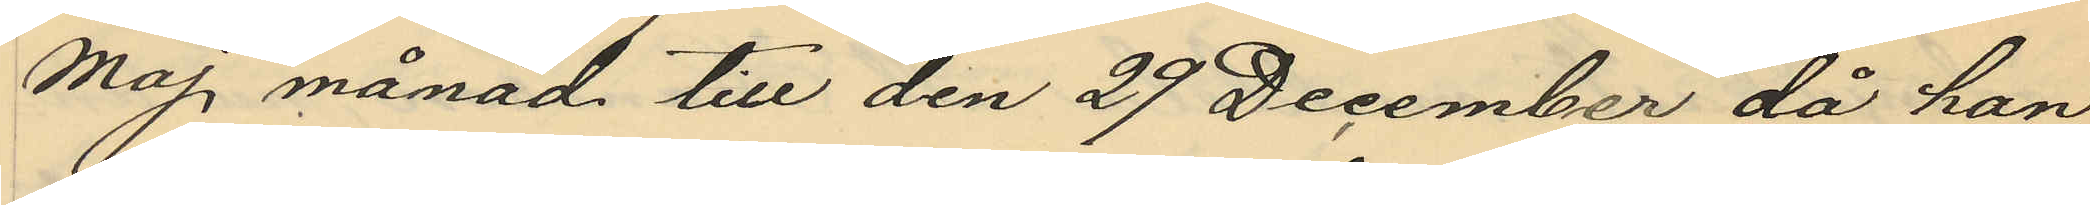Maj månad till den 29 December då han
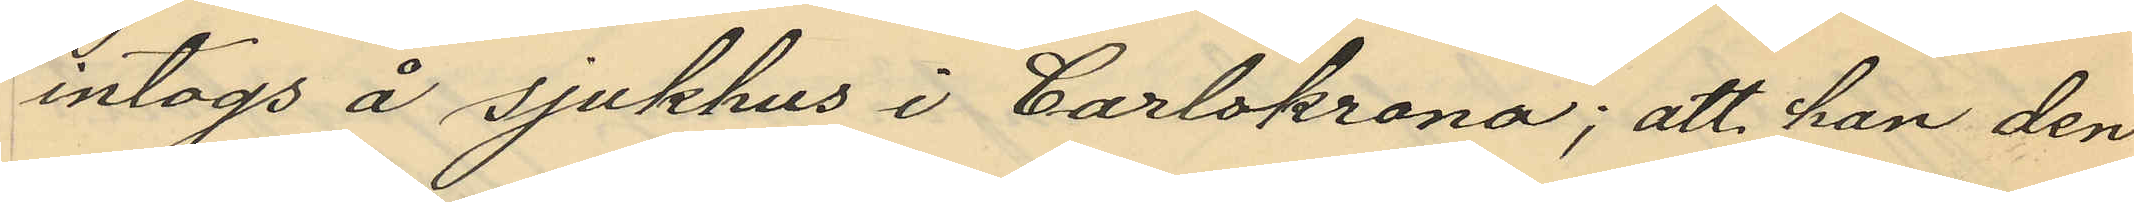intogs på sjukhus i Carlskrona; att han den
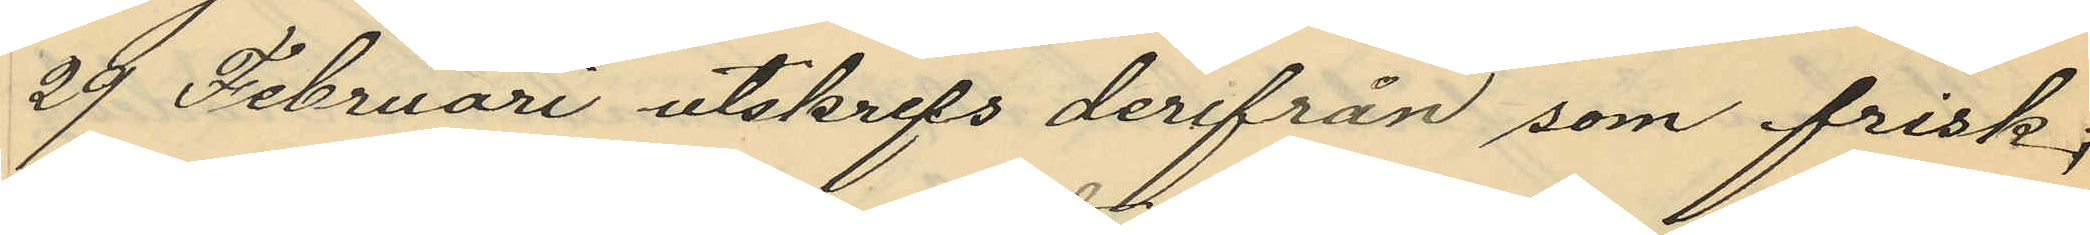29 Februari utskrefs derifrån som frisk;
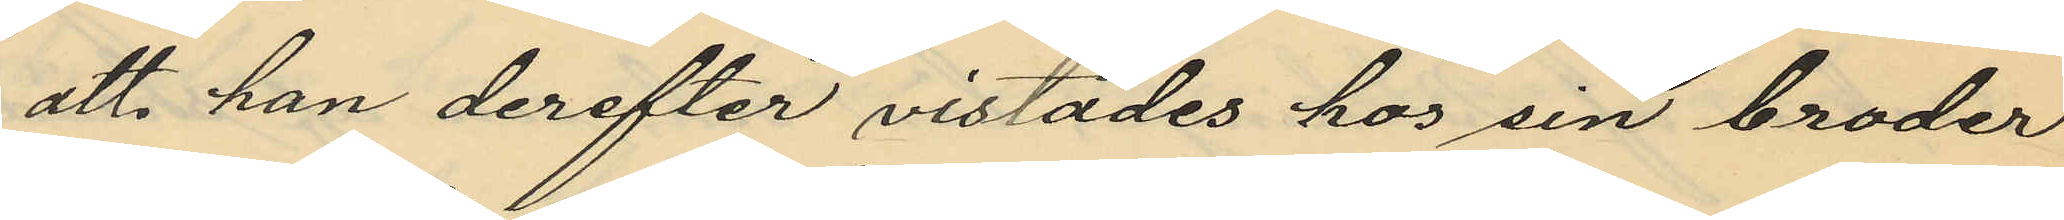att han derefter vistades hos sin broder
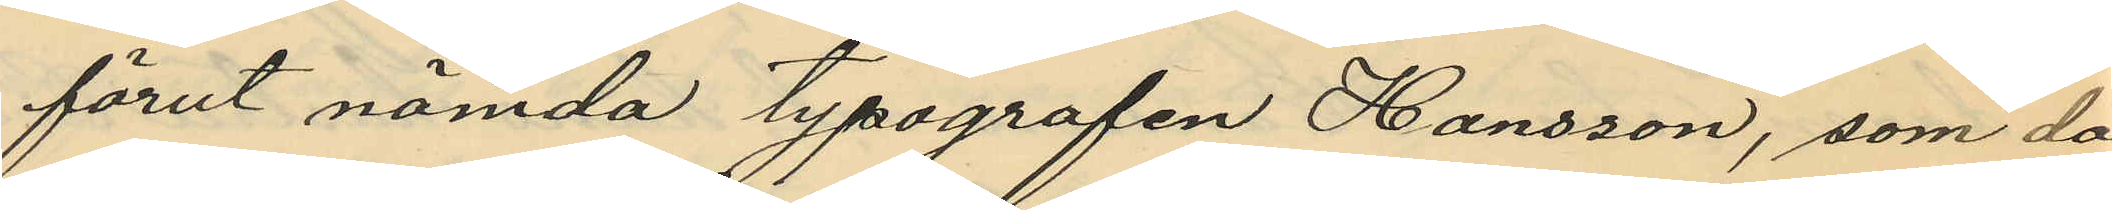förut nämnda typografen Hansson, som då
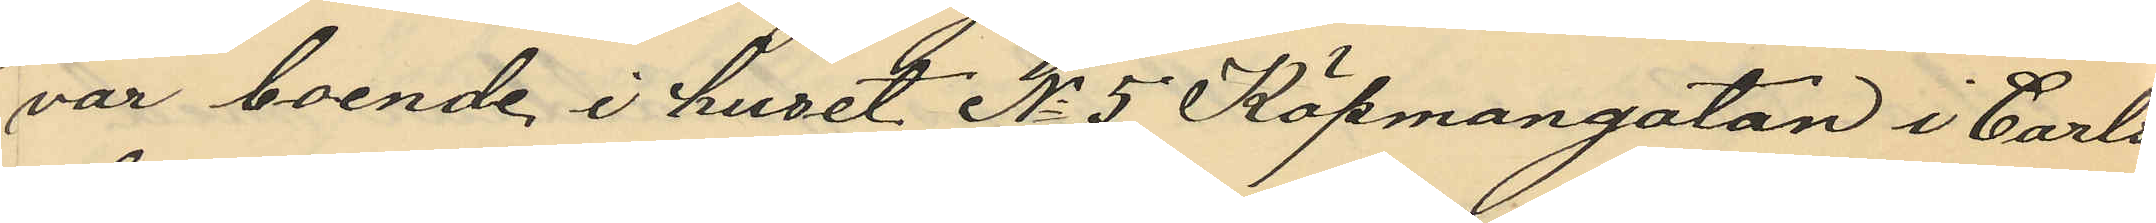var boende i huset No 5 Köpmangatan i Carls¬
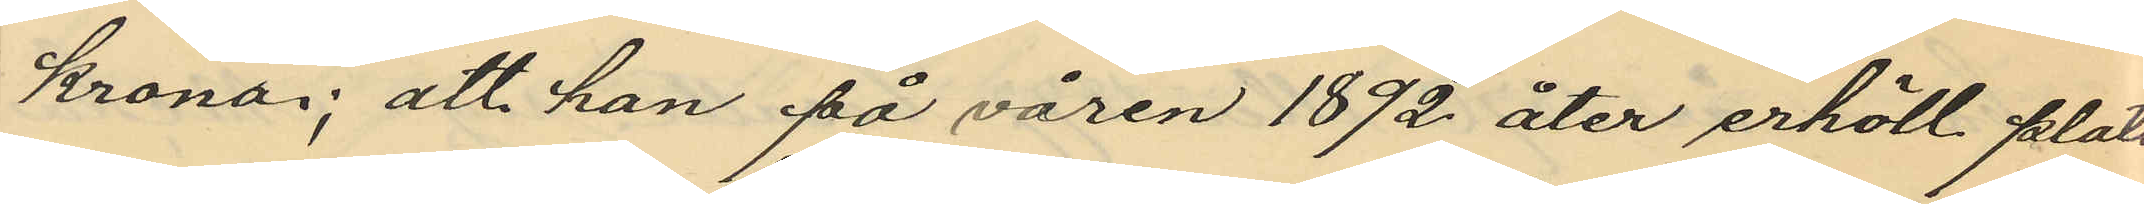krona; att han på våren 1892 åter erhöll plats
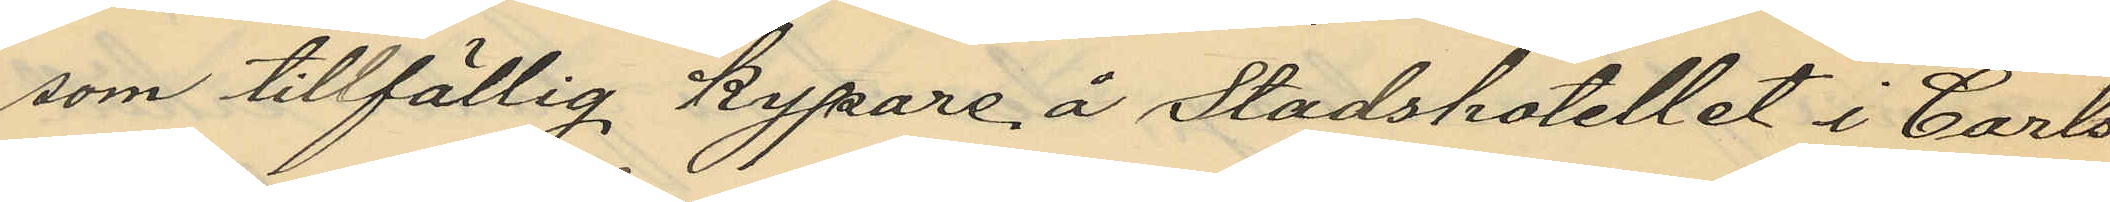som tillfällig kypare å Stadshotellet i Carls¬
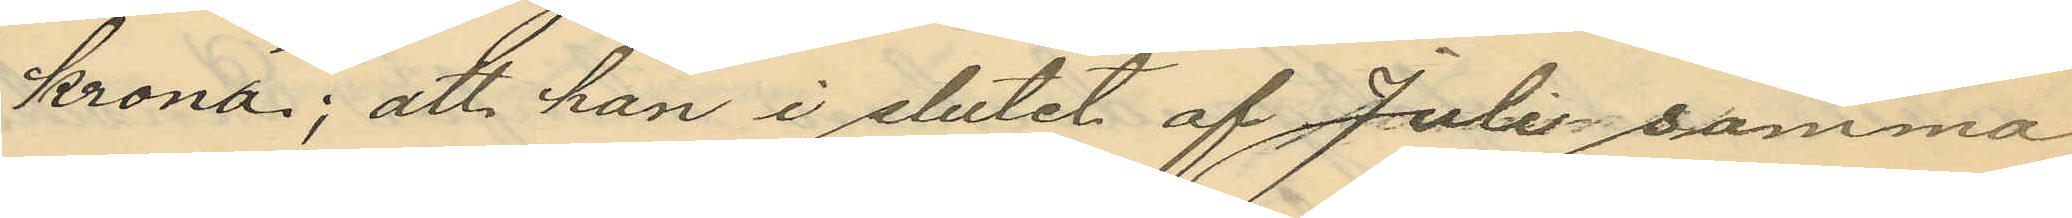krona; att han i slutet af Juli samma
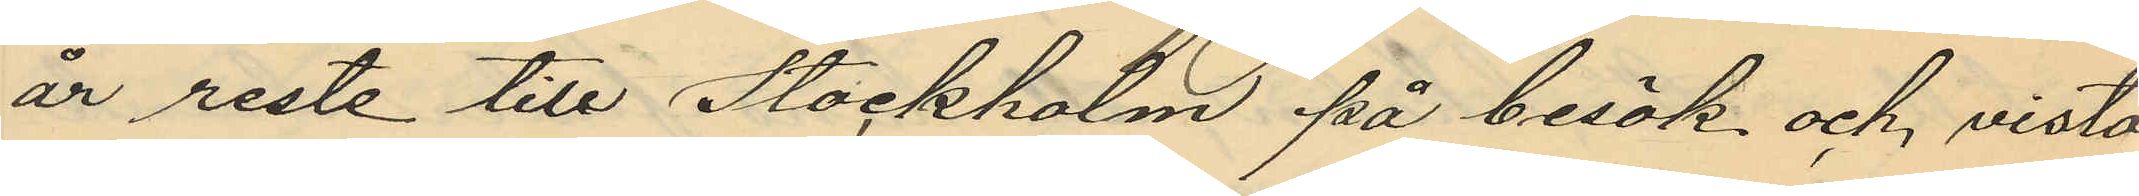år reste till Stockholm på besök och, vista¬
